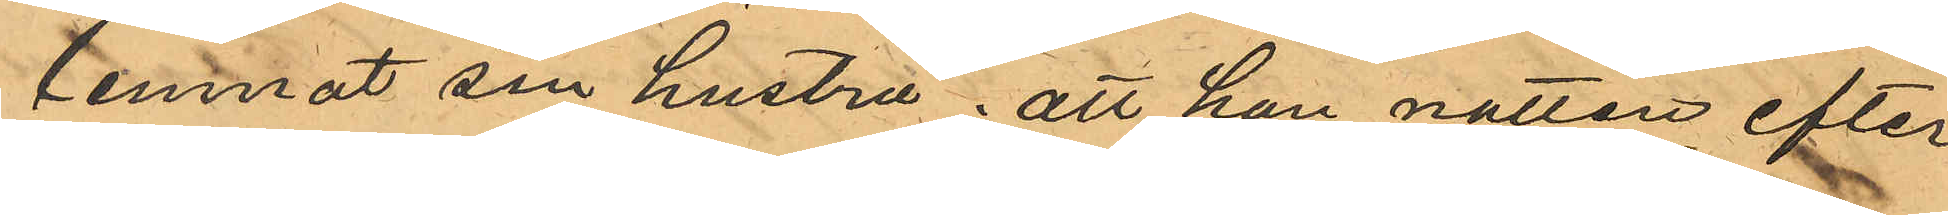lemnat sin hustru; att han natten efter
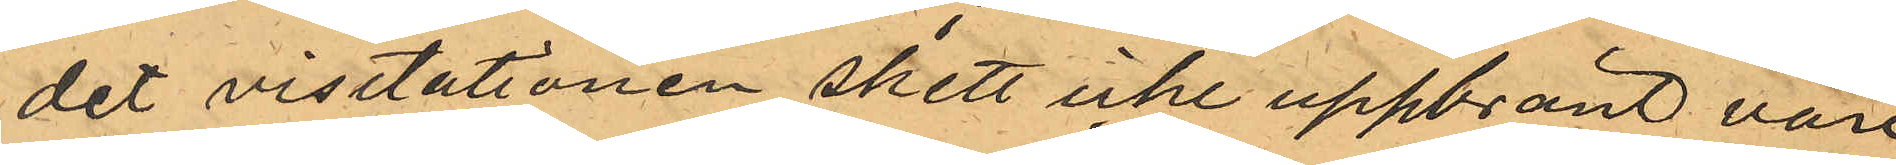det visitationen skett icke uppbränt vore
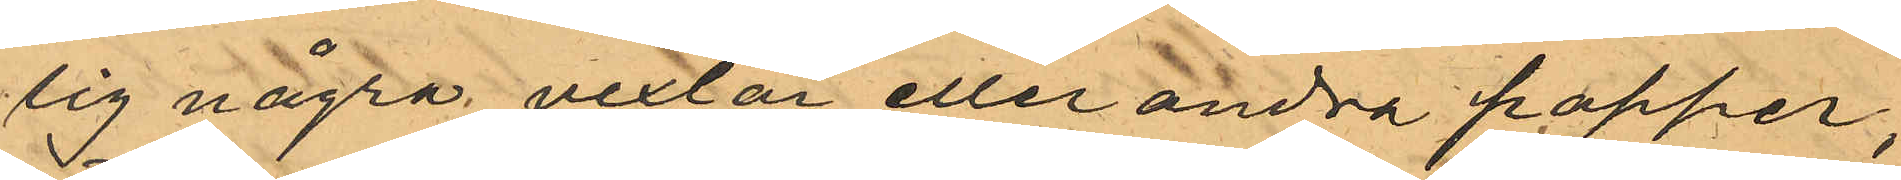sig några vexlar eller andra papper;
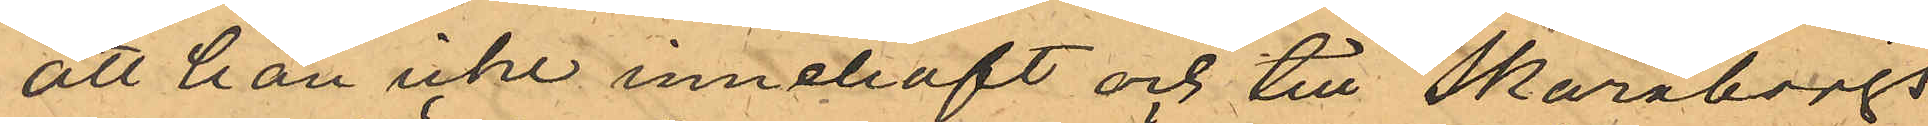att han icke innehaft och till Skaraborgs
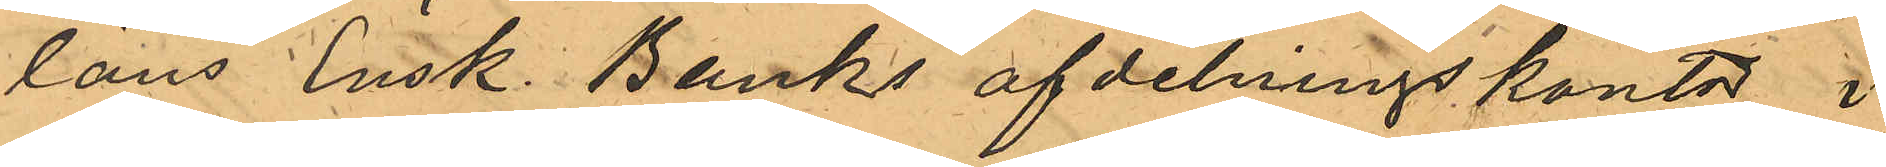läns Ensk. Banks afdelningskontor i
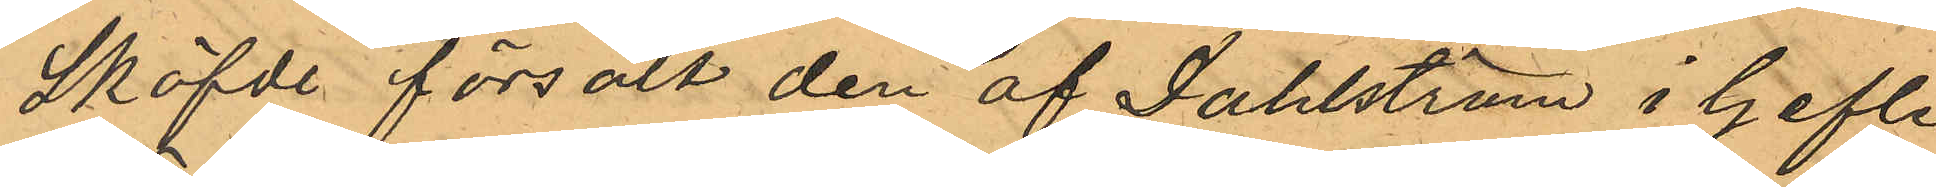Sköfde försålt den af Dahlström i Gefte
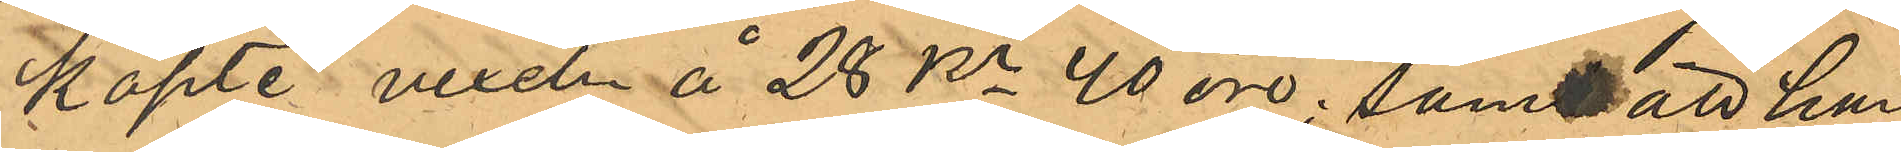Köpte vexeln å 28 Kr 40 öre; samt att han
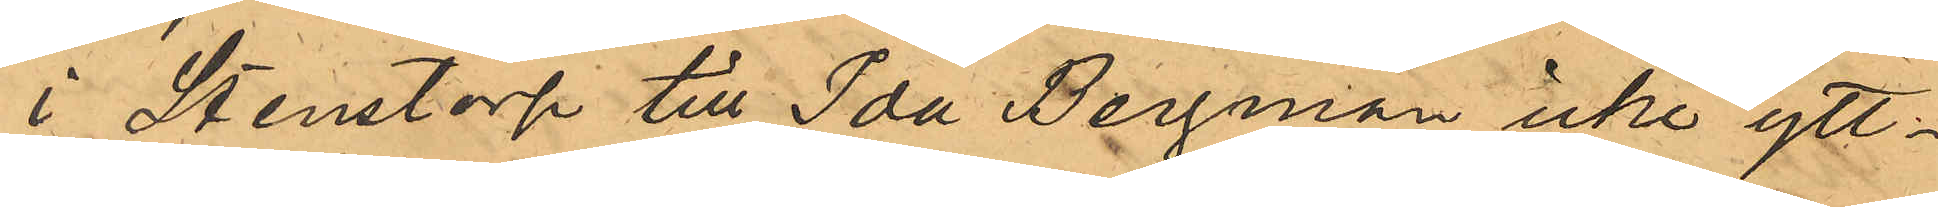i Stenstorp till Ida Bergman icke ytt¬
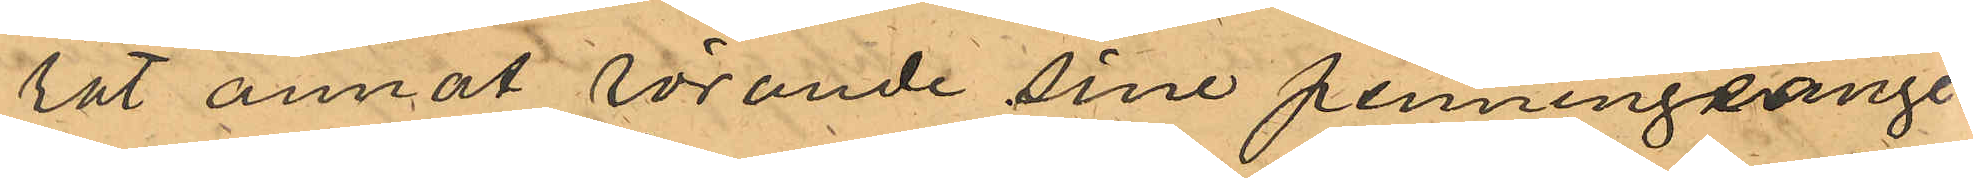rat annat rörande sine penningsange¬
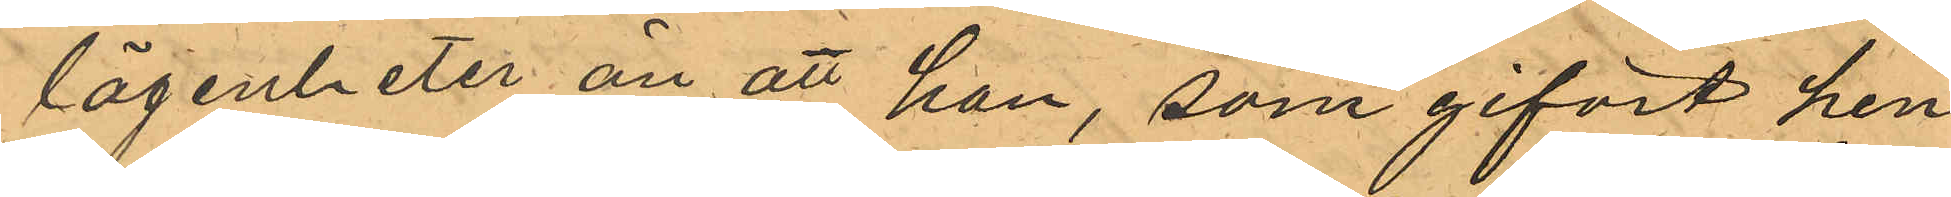lägenheter än att han, som gifvit hen¬
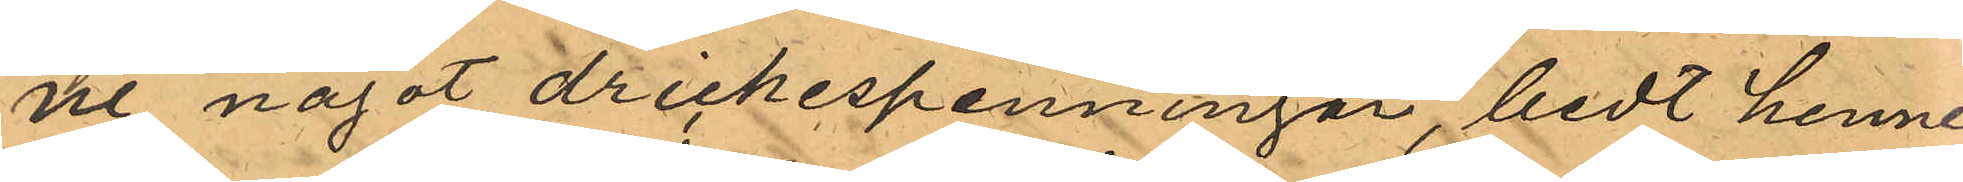ne något drickespenningar, bedt henne
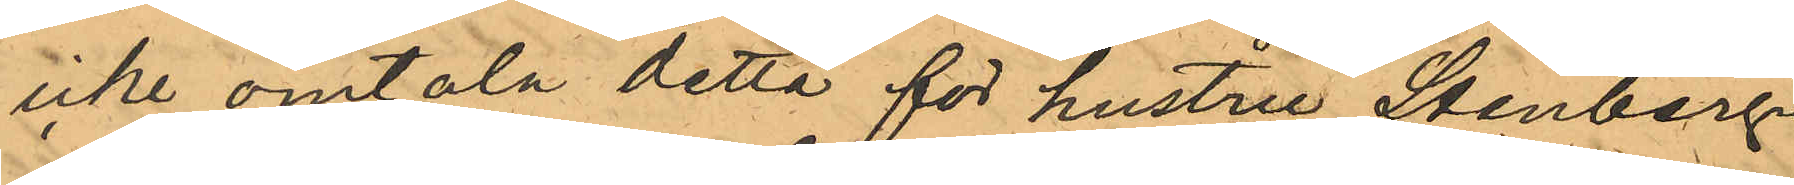icke omtala detta för hustru Stenberg.
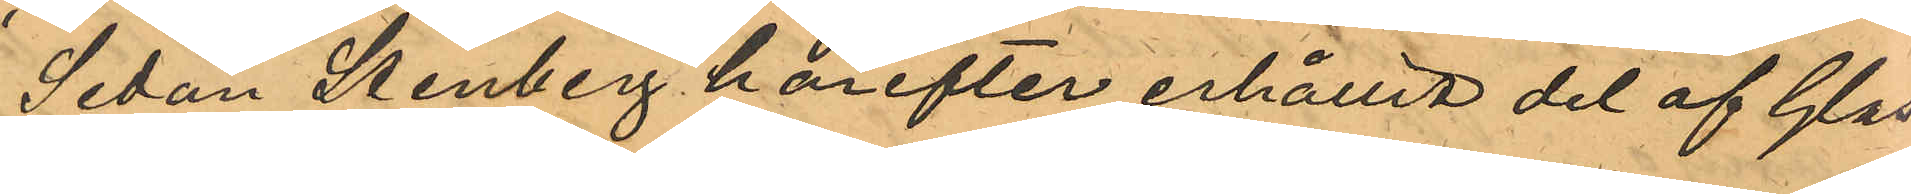Sedan Stenberg härefter erhållit del af Glas¬
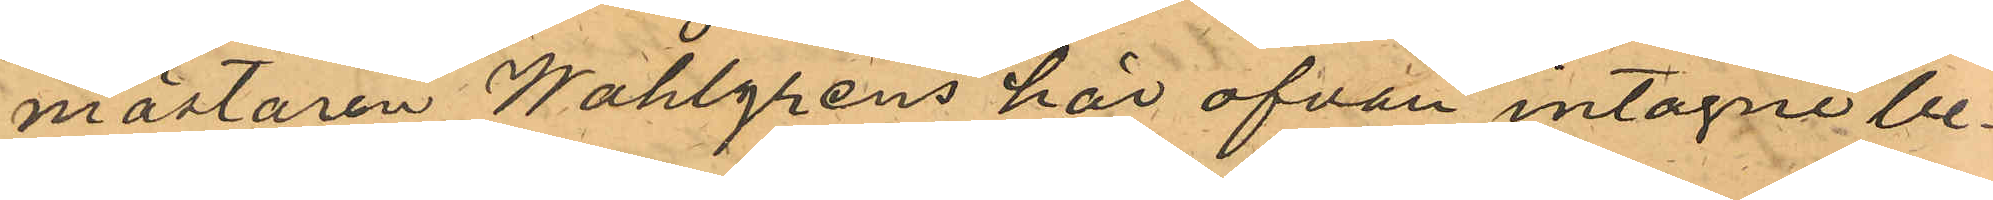mästaren Wahlgrens här ofvan intagne be¬
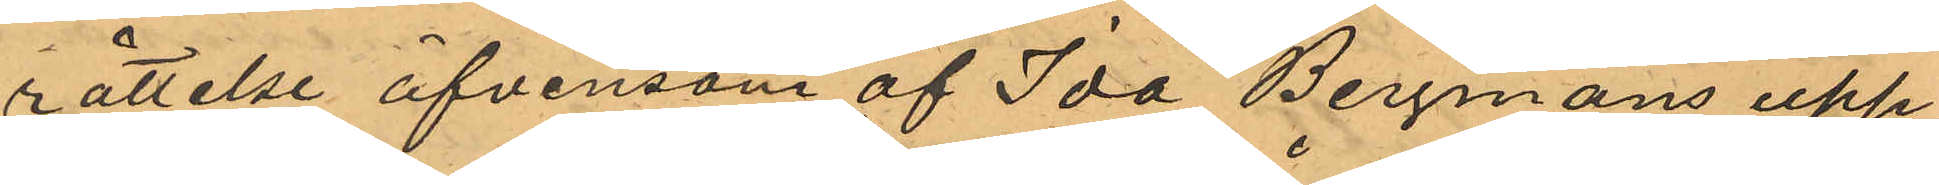rättelse äfvensom af Ida Bergmans upp¬
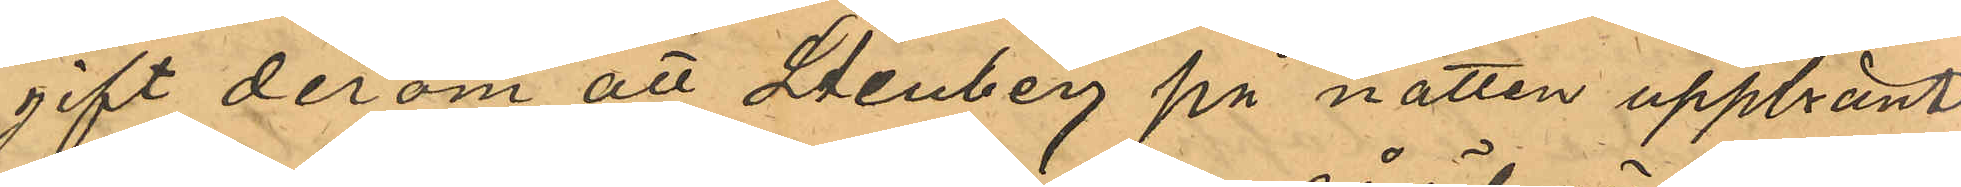gift derom att Stenberg på natten uppbränt
